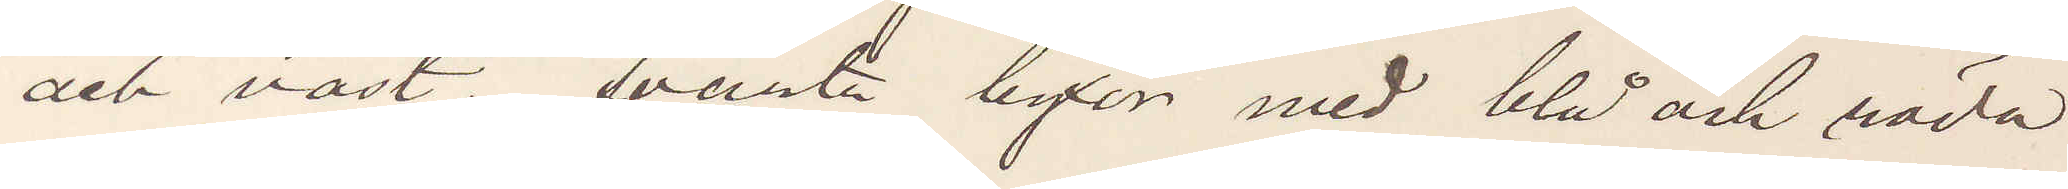och väst, svarta byxor med blå och röda
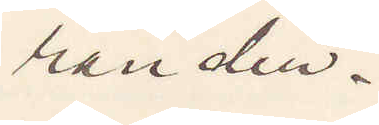ränder.
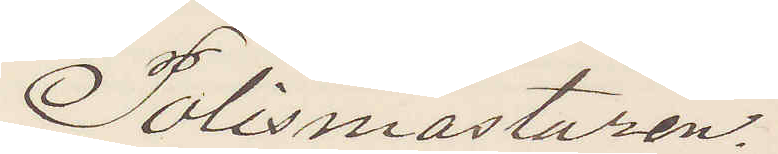Polismästaren.
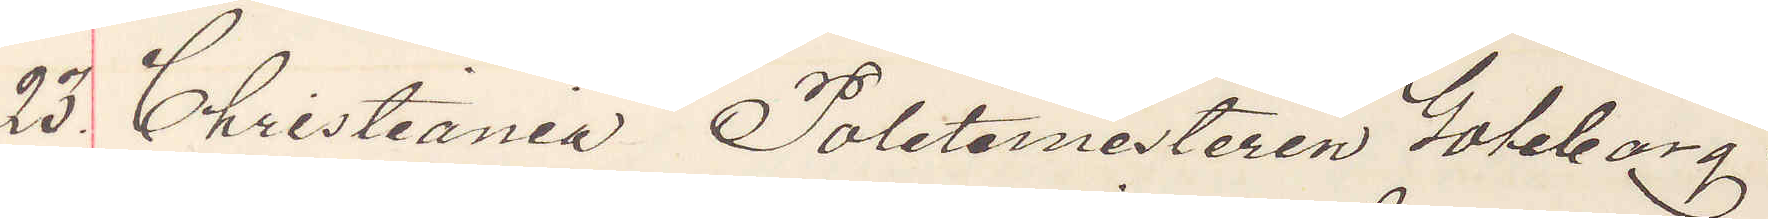23. Christiania Poletimestaren Göteborg.
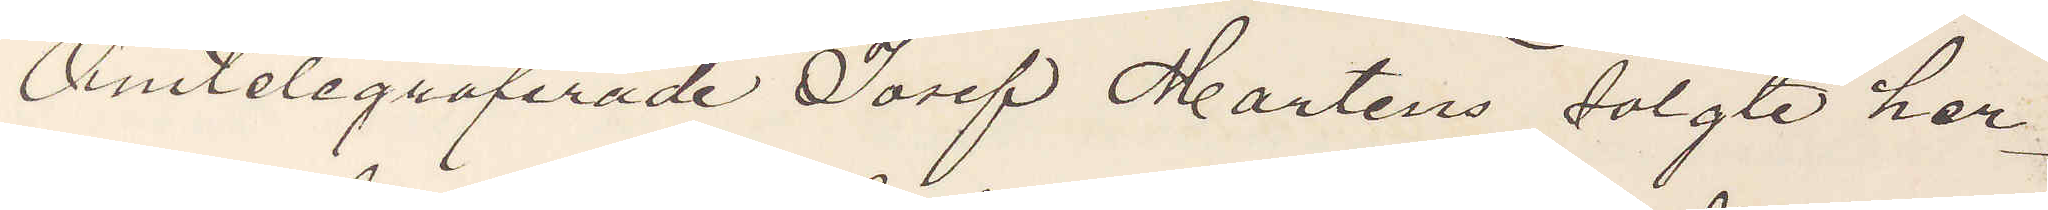Omtelegraferade Josef Martens solgte her¬
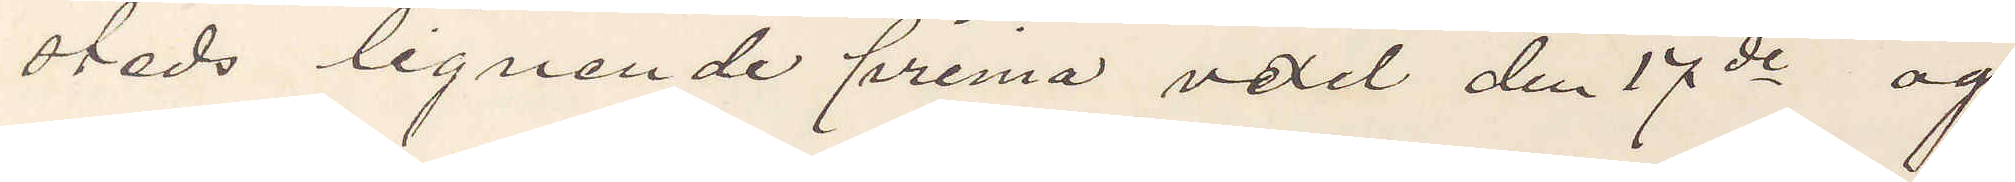steds lignende prima vexel den 17de og
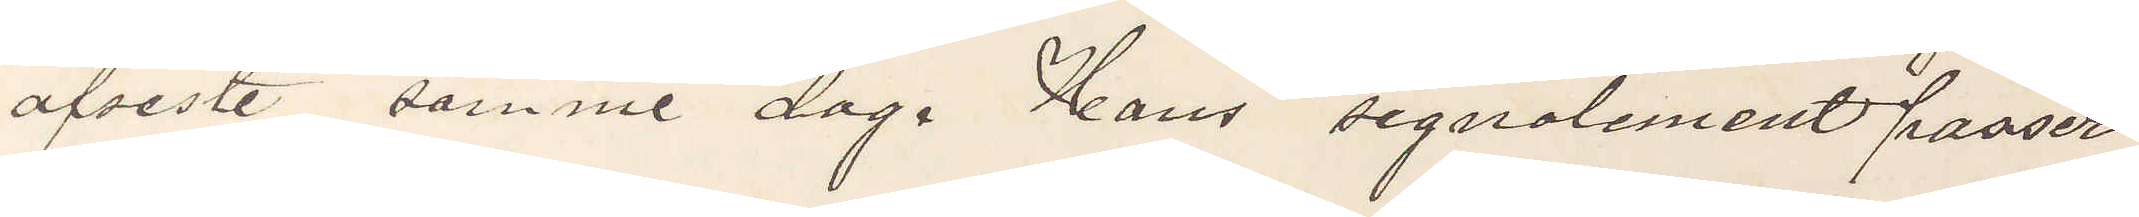afreste samme dag. Hans signalement passer
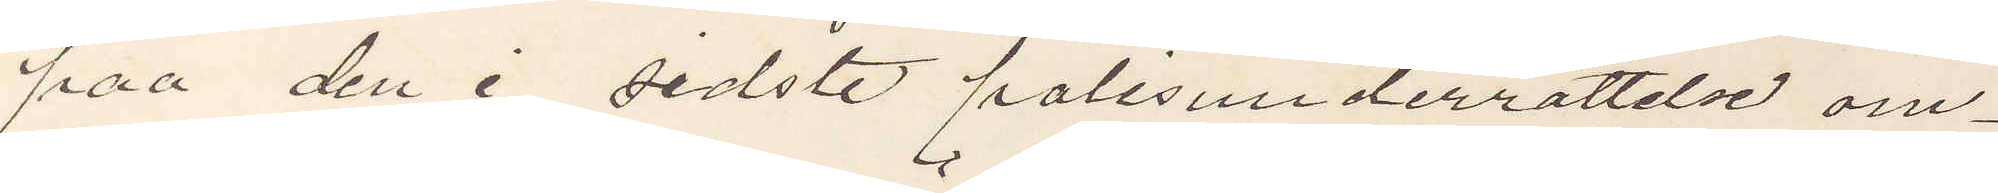paa den i sidste polisunderrättelse om¬
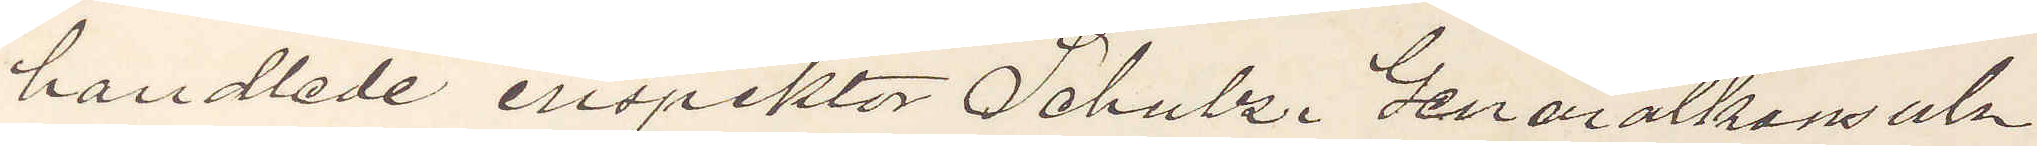handlede inspektör Schulz. Generalkonsuln
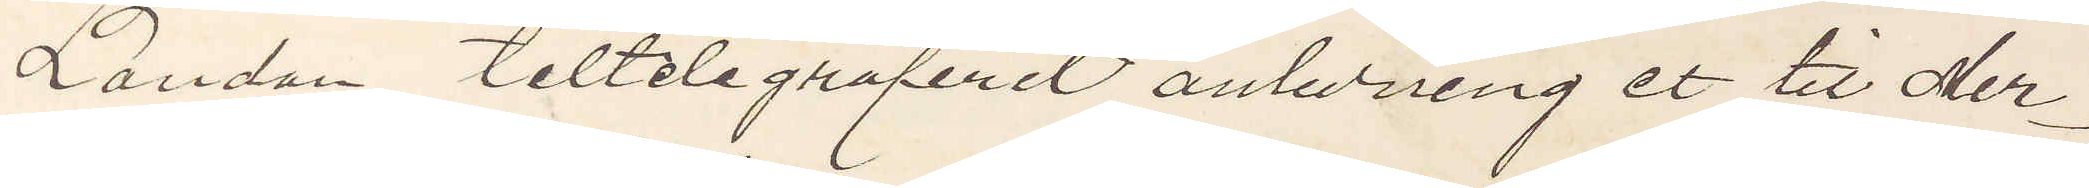London tiltelegraferet anledning et til Mer¬
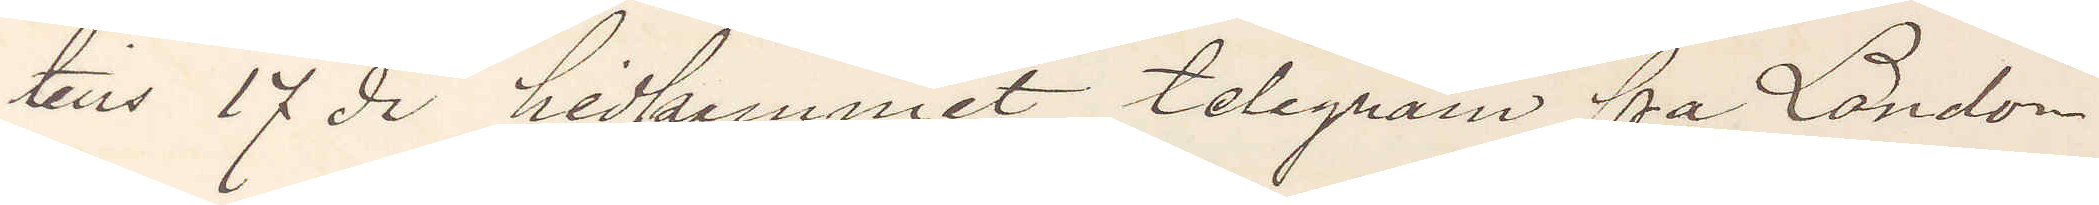tens 17 ds hidkommet telegram fra London
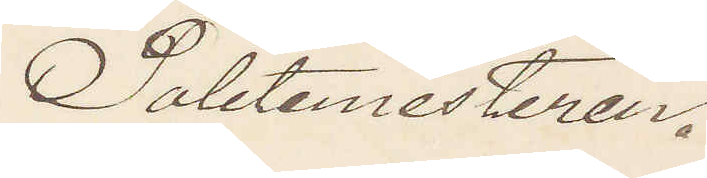Poletimesteren.
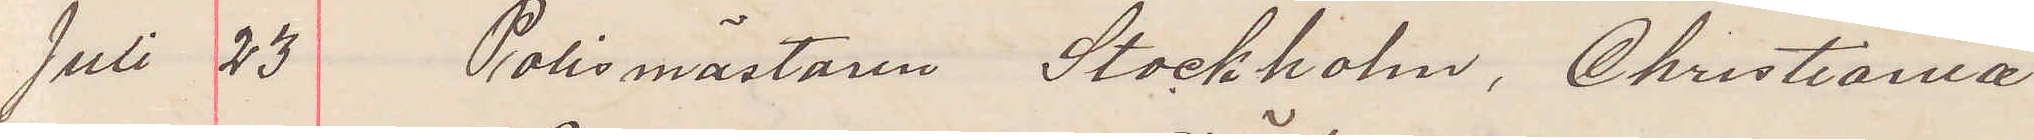Juli 23 Polismästaren Stockholm, Christiania
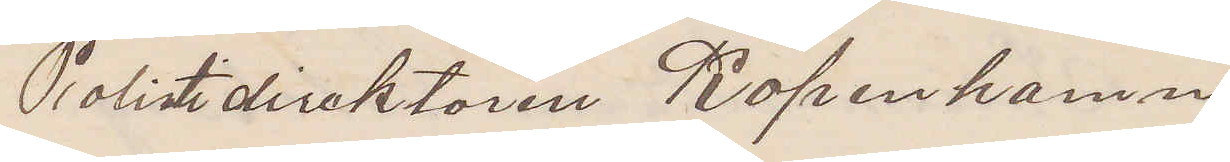Polistidirektören Köpenhamn
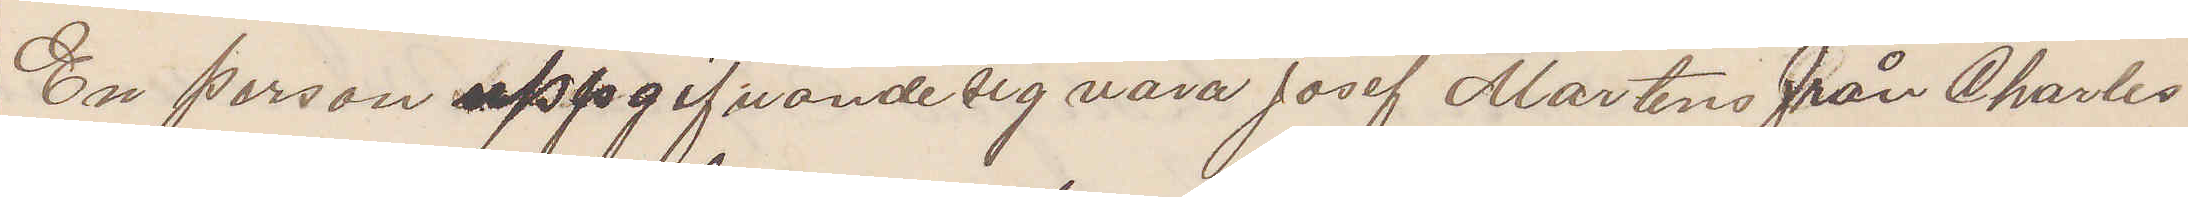En person uppgifvande sig vara Josef Martens från Charles
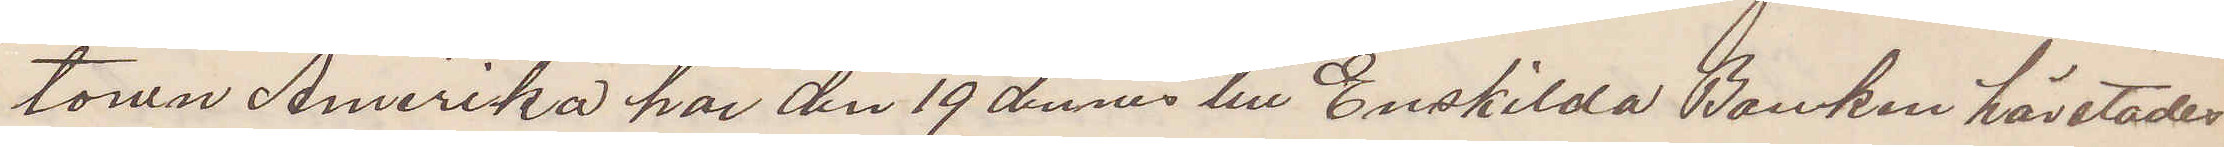town Amerika har den 19 dennes till Enskilda Banken härstädes
